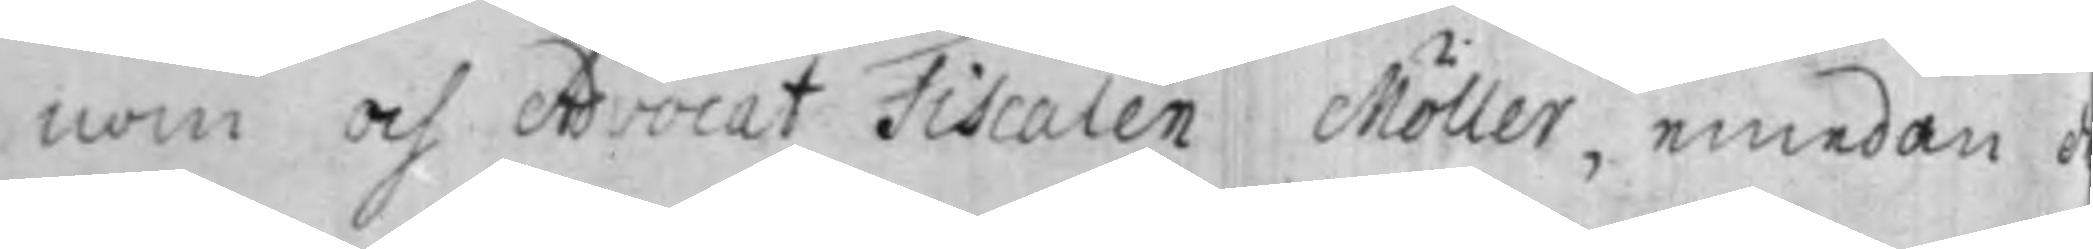nom och Advocat Fiscalen Möller, emedan d
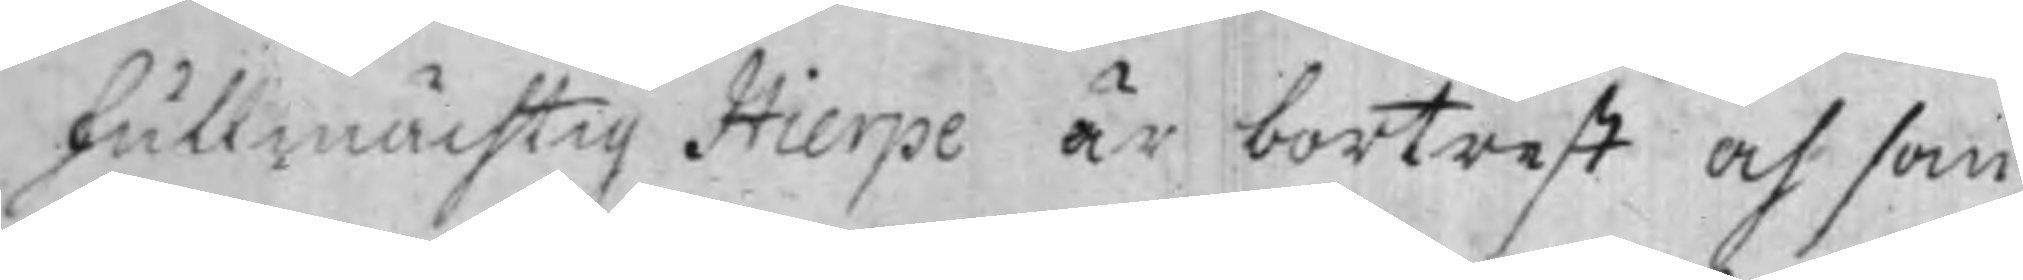fullmächtig Hierpe är bortrest och som
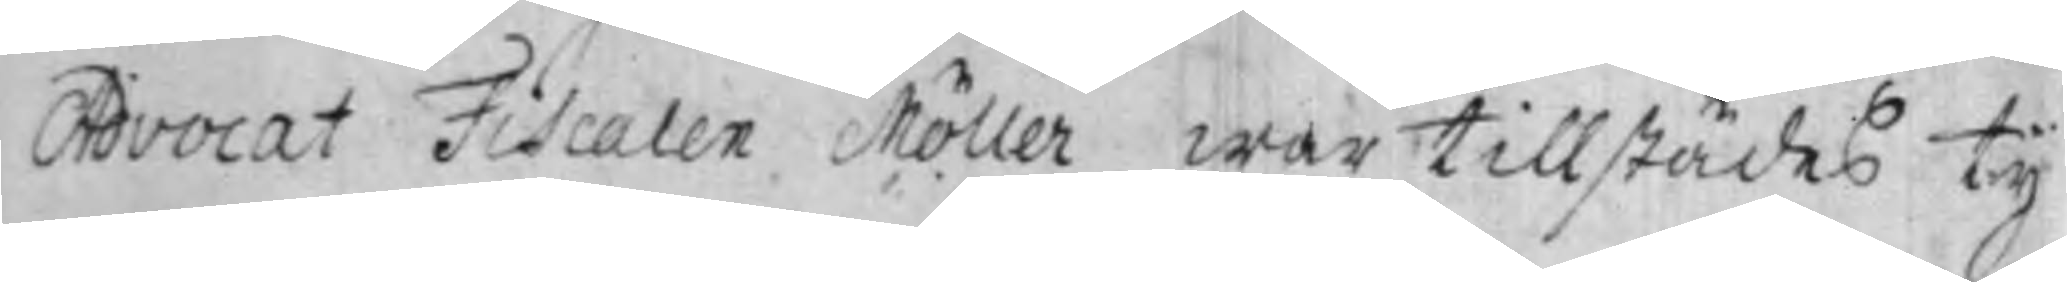Advocat Fiscalen Möller war tillstädes ty
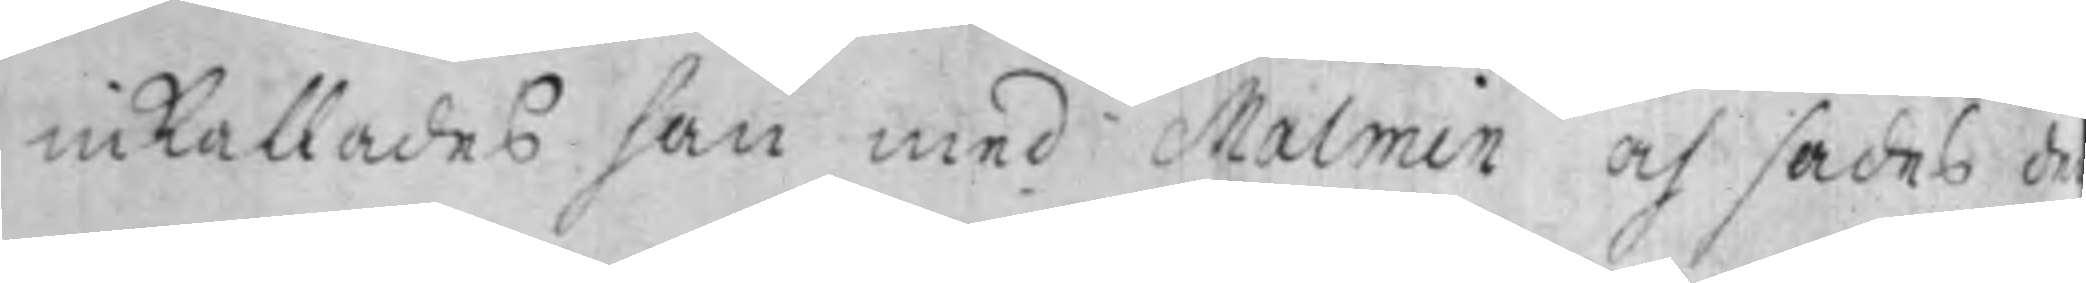inkallades han med Malmin och sades d
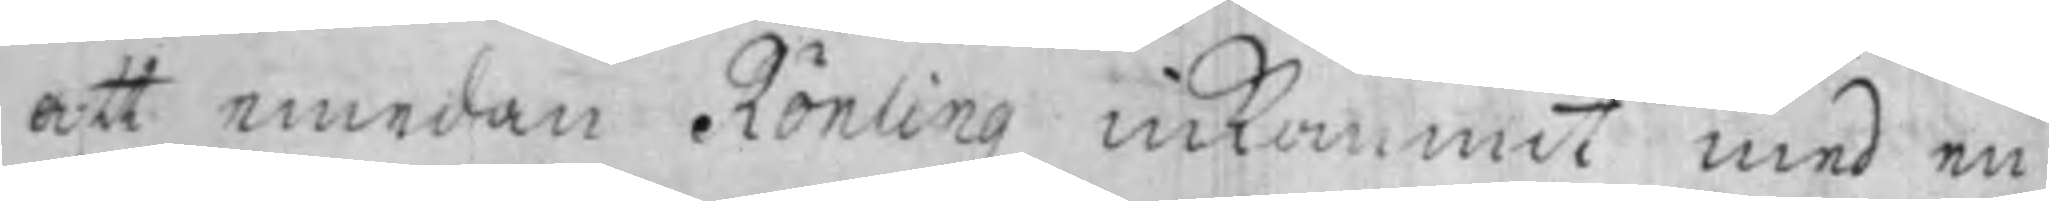att emedan Rönling inkommit med en
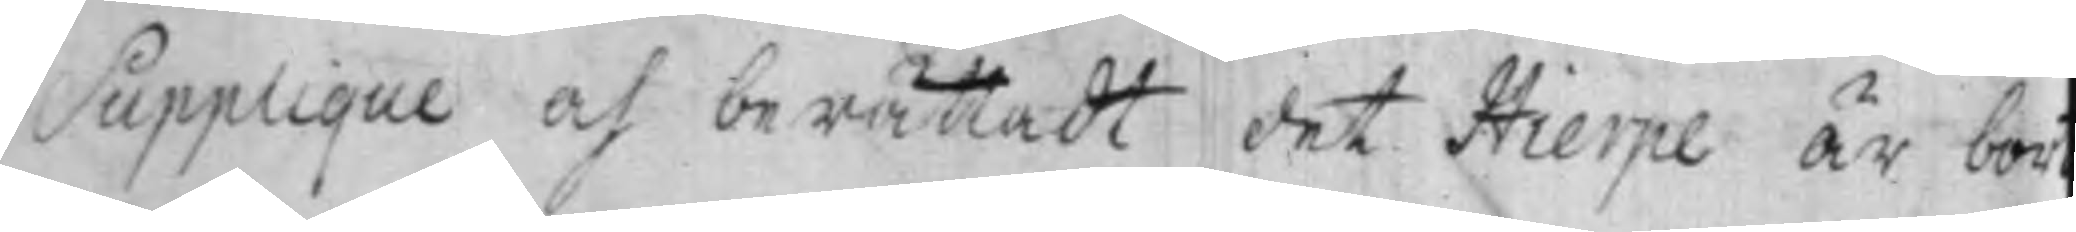Supplique och berättadt det Hierpe är bor¬
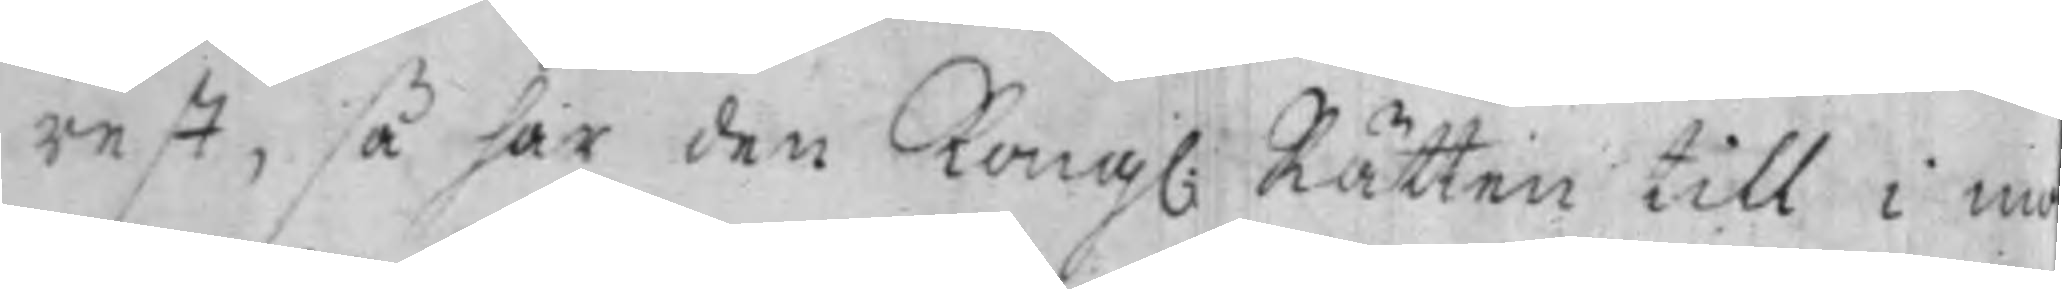rest, så har den Kong: Rätten till i mo¬
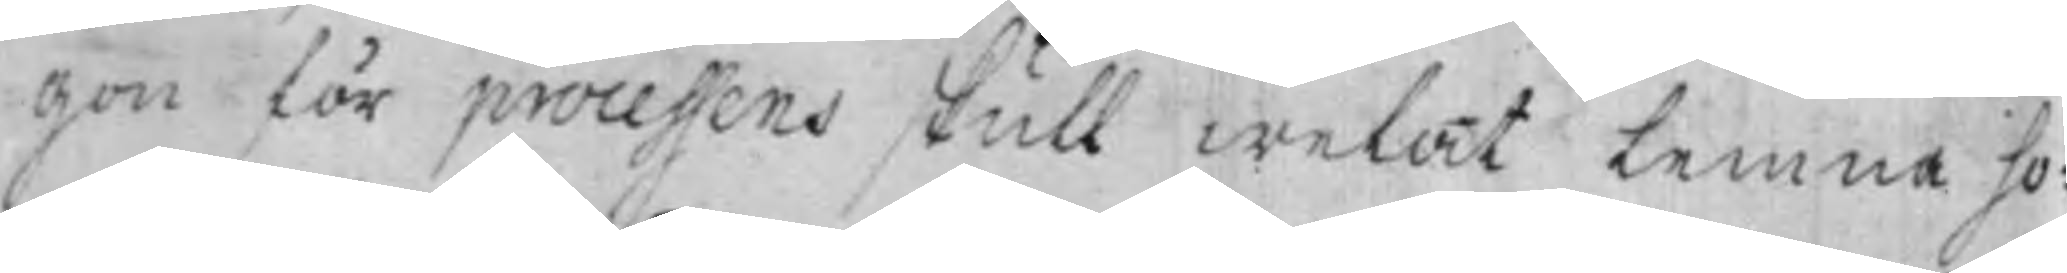gon för processens skull welat Lemna ho¬
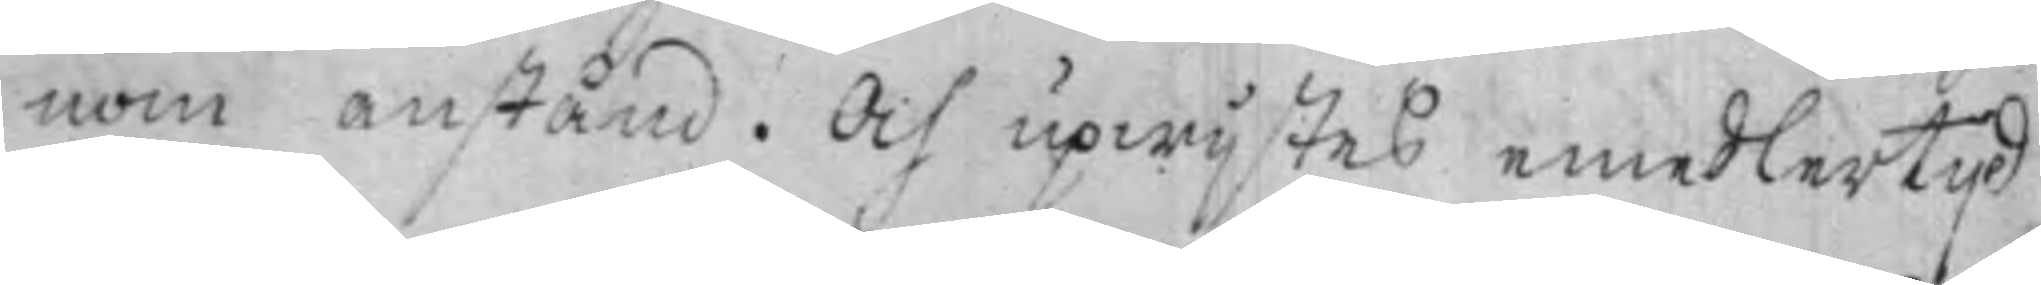nom anstånd. Och upwijstes emedlertijd
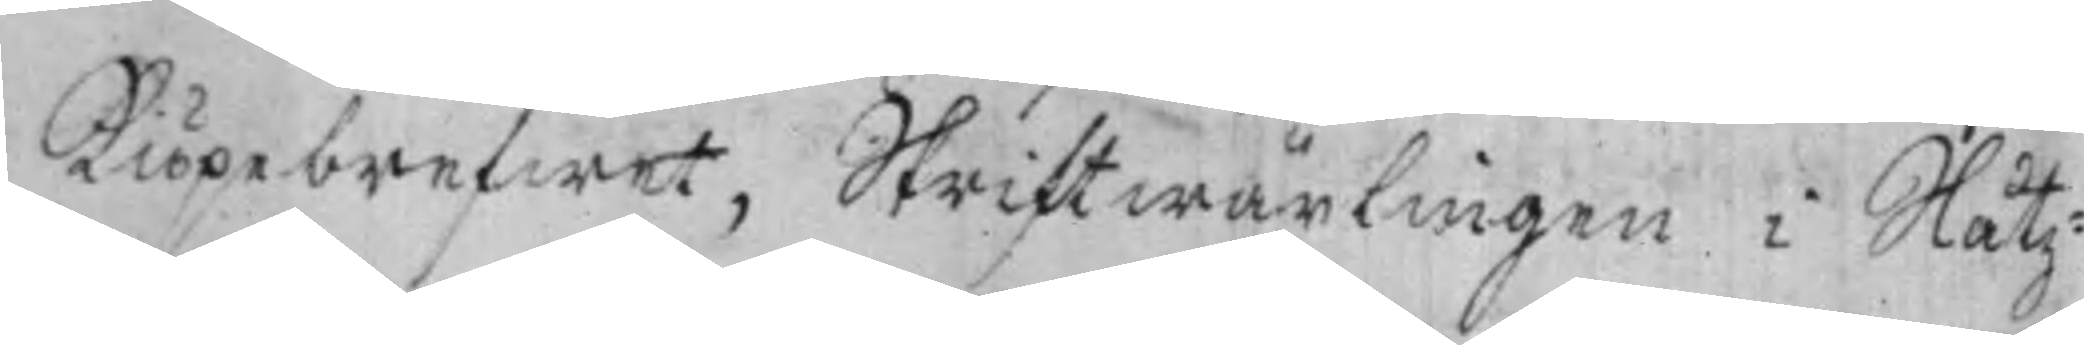Kiöpebrefwet, Skriftwäxlingen i Slåtz¬
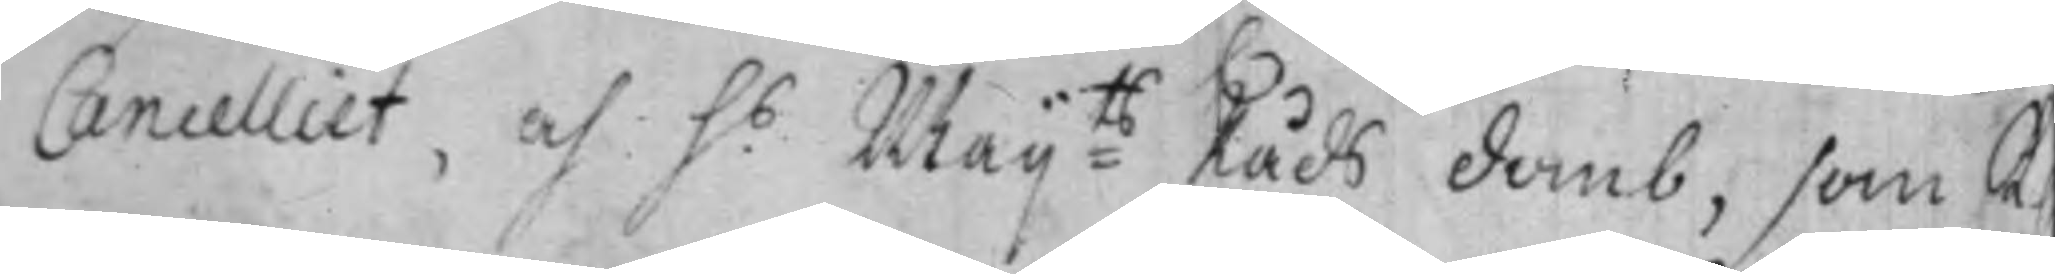Cancelliet, och h.s Maij:ts Råds domb, som K
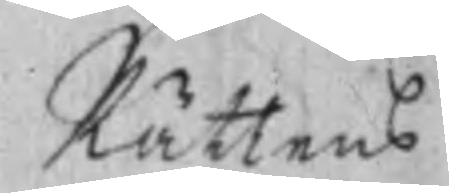Rättens
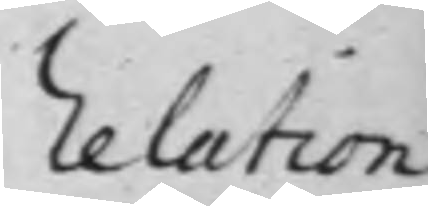Relation
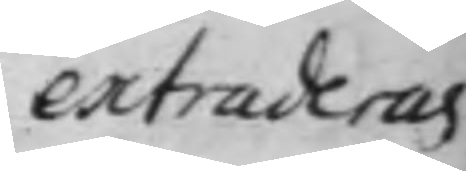extraderas
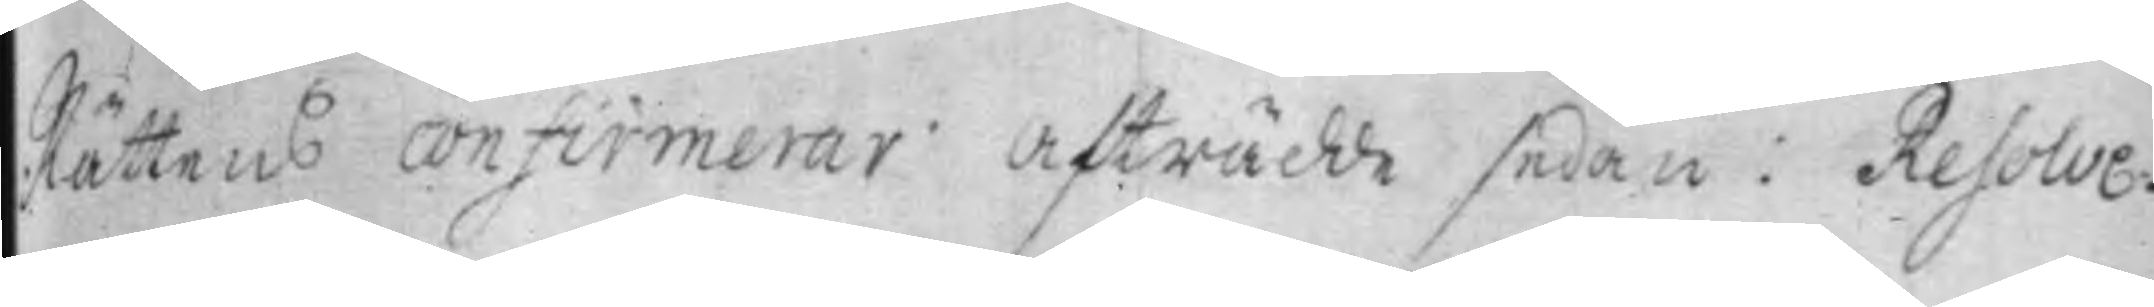Rättens confirmerar. Afträdde sedan: Resolve¬
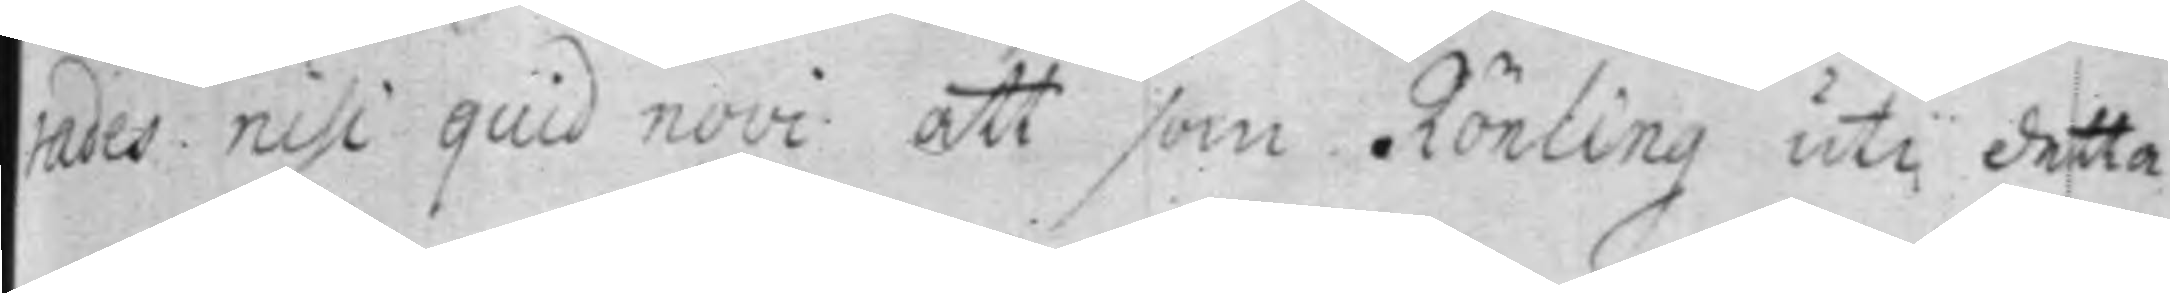rades nisi quid novi att som Rönling uti detta
